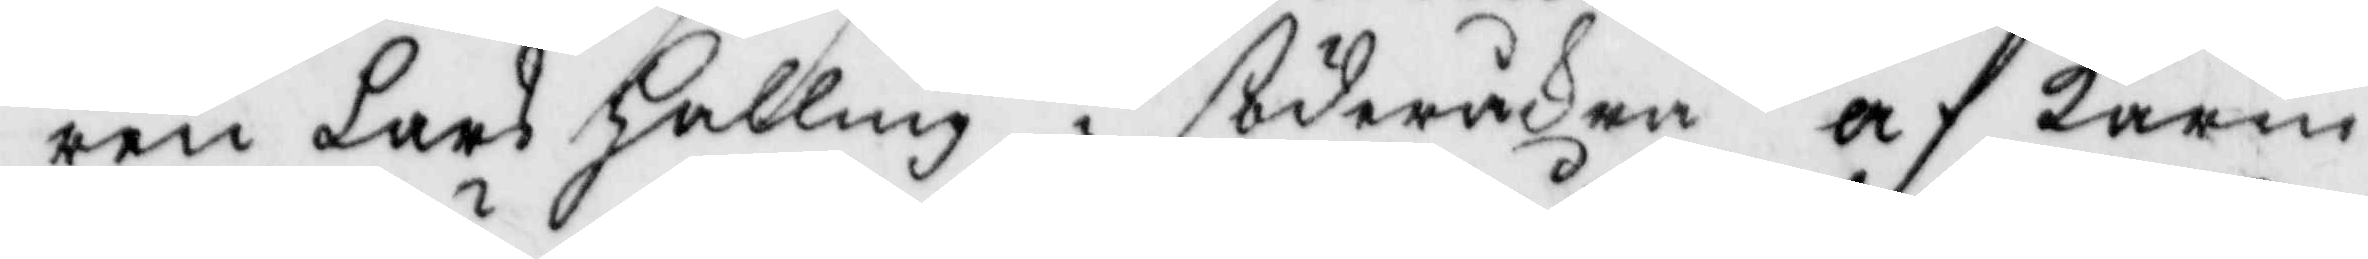ren Lars Halling i söderåsen af karin
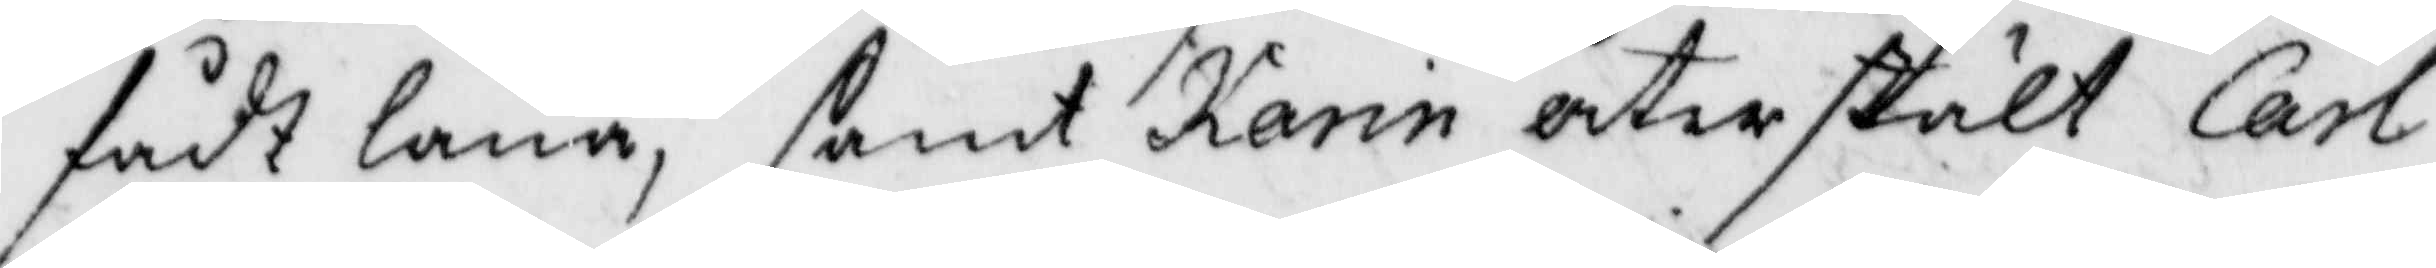fådt låna, samt Karin återstält Carl
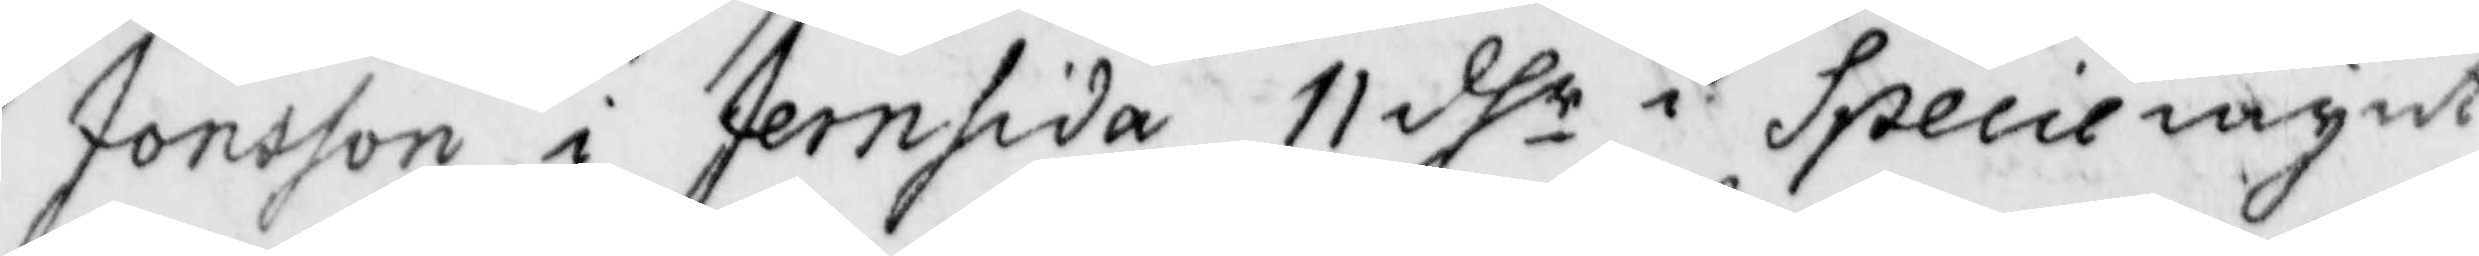Jonsson i Jernsida 11 dhr i Speciemynt
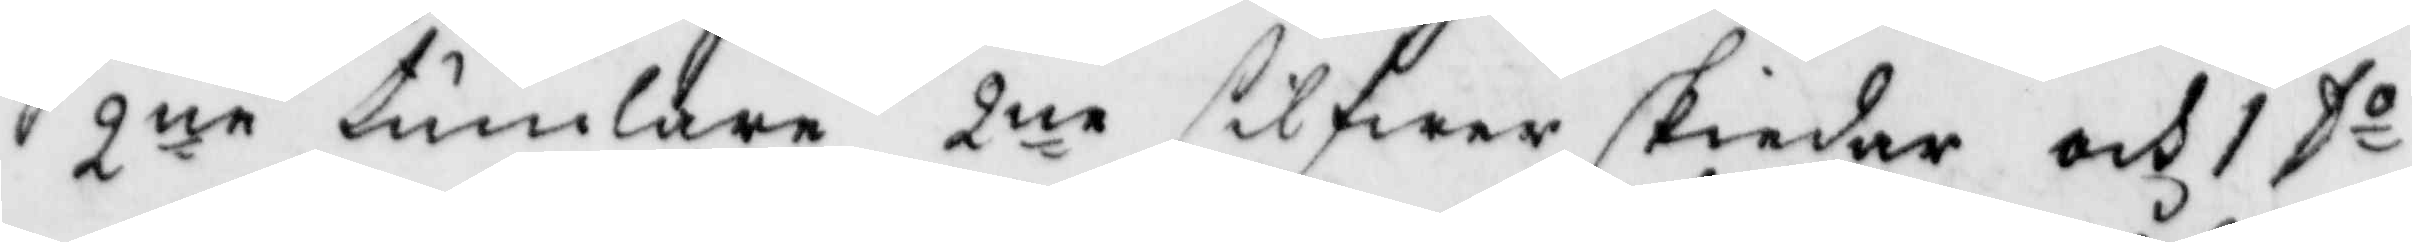2ne tumlare 2ne silfwerskiedar och 1 Do
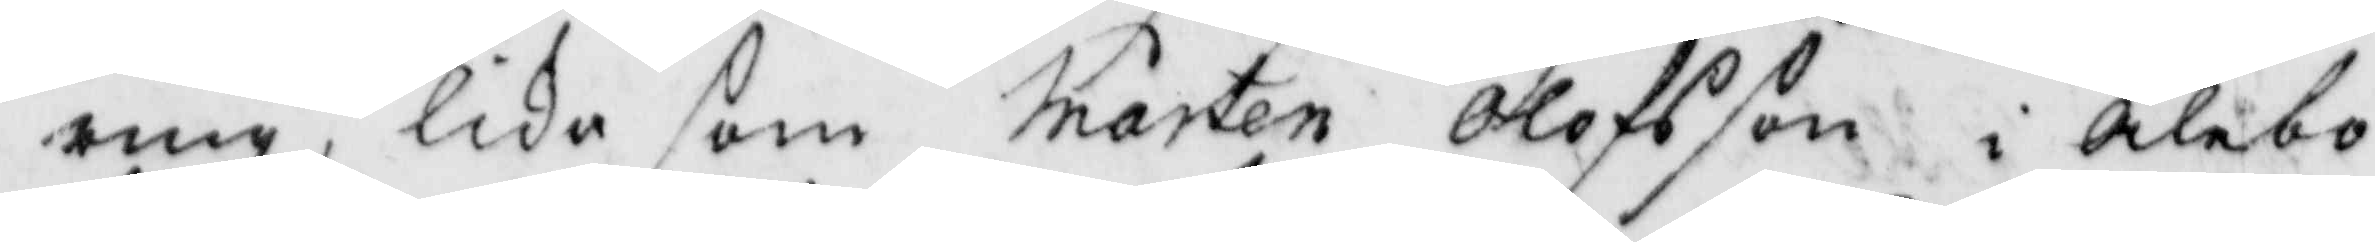ring, lika som Mårten Olofsson i Ålebo
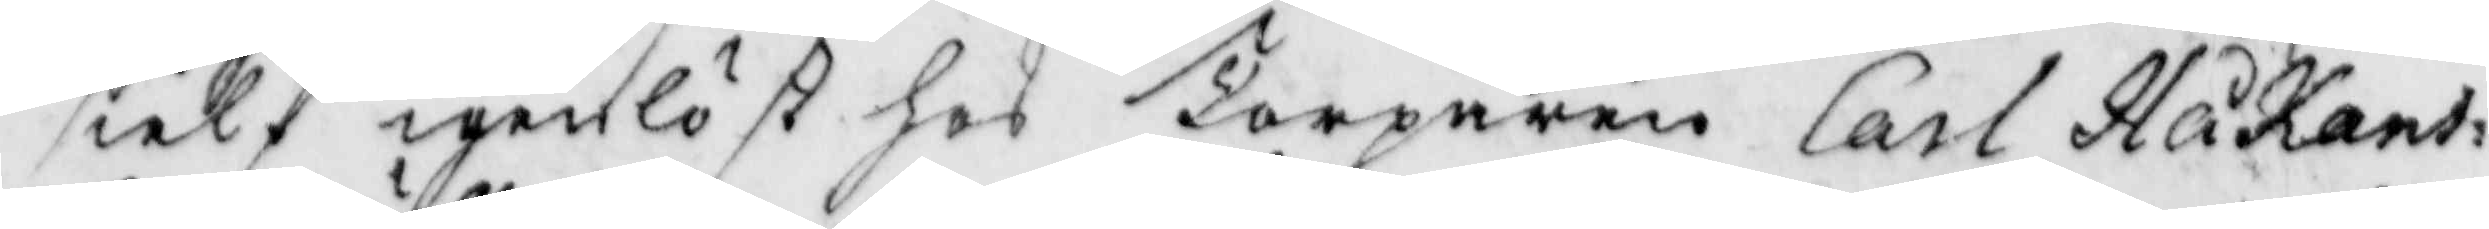sielf igenlöst hos Torparen Carl Håkans¬
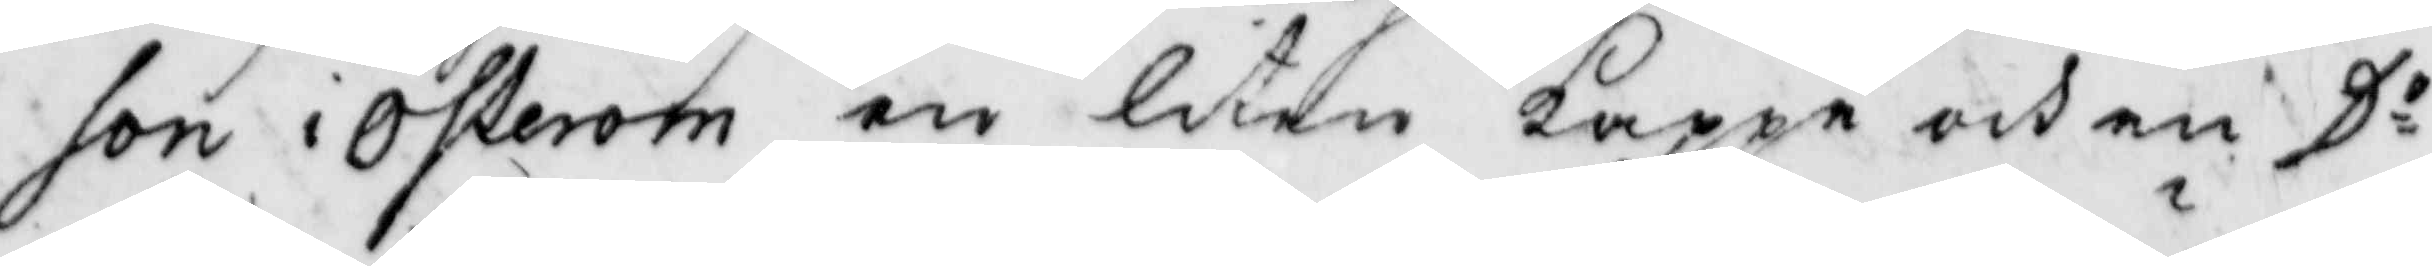son i Österom en liten kappe och en Do
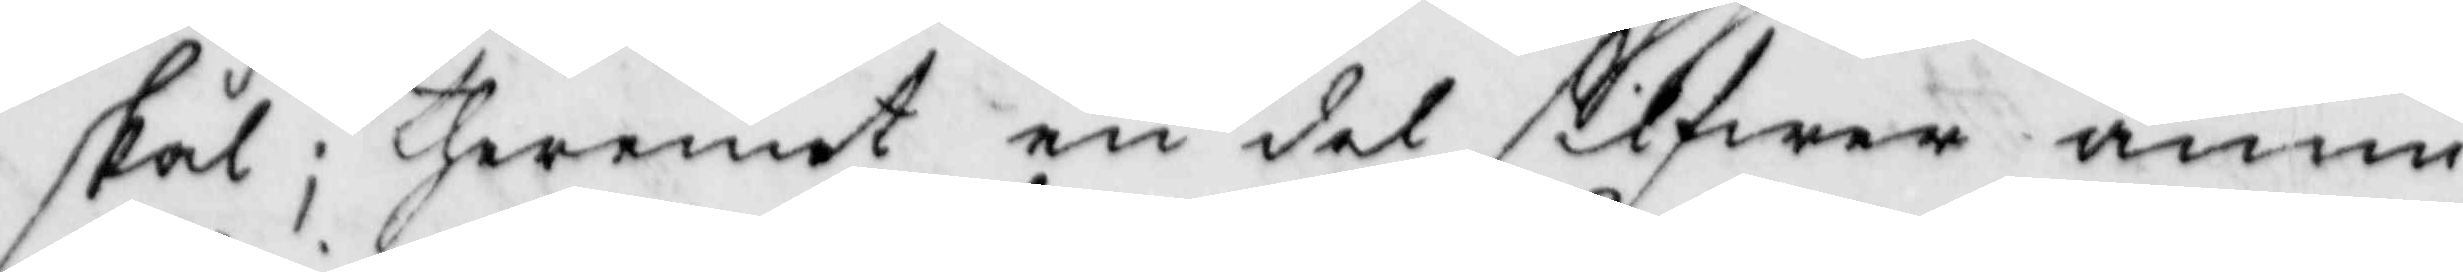skål; theremot en del silfwer ännu
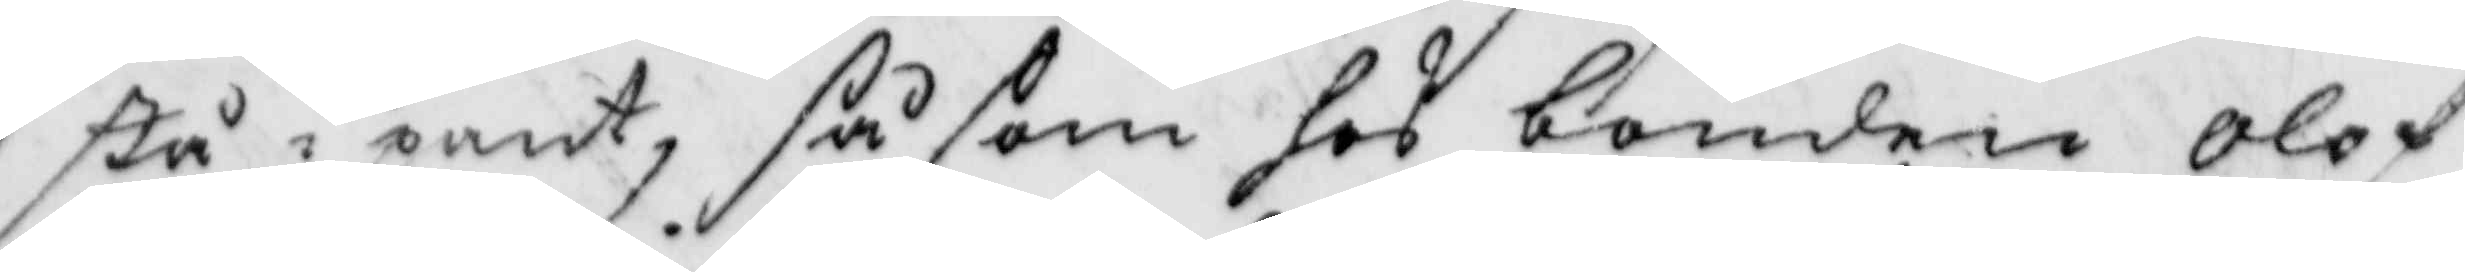stå i pant, så som hos bonden Olof
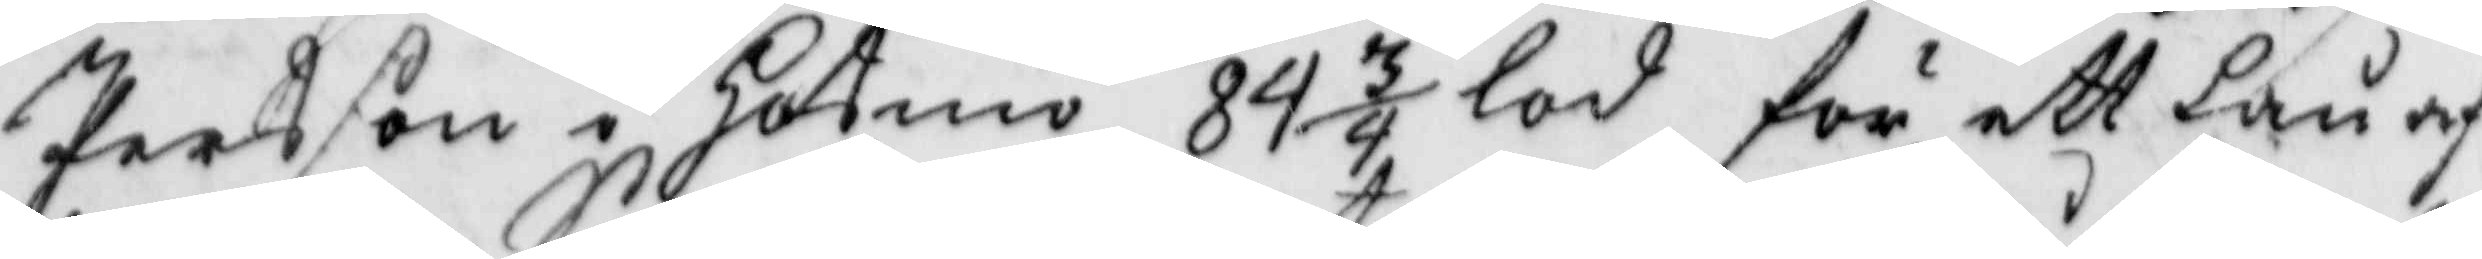Persson i Hotmo 84 3/4 lod för ett lån af
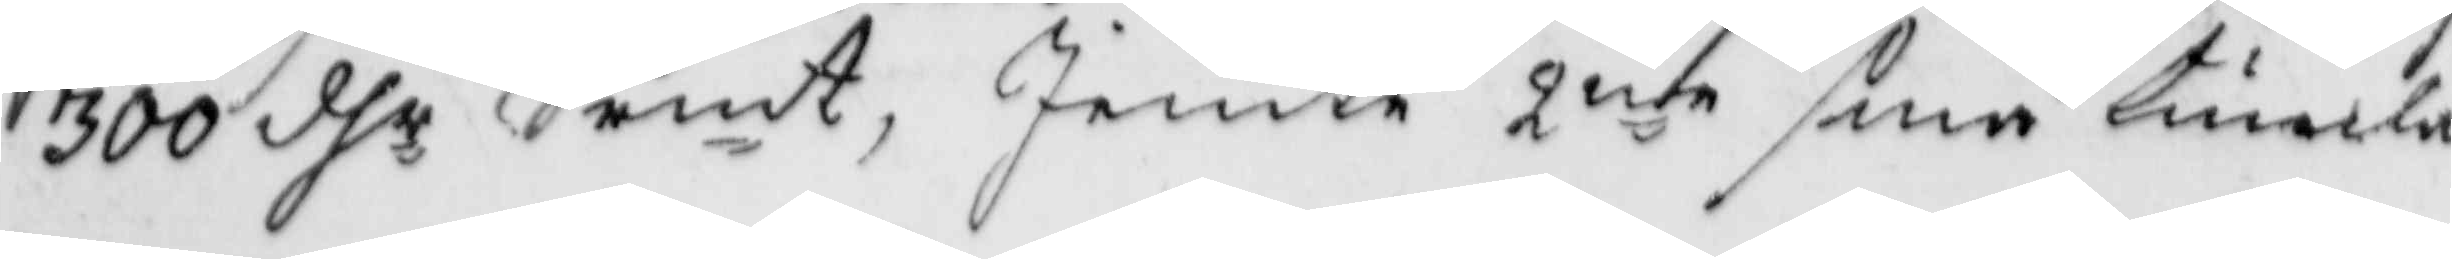300 dhr Srmt, Jemte 2ne små tumla¬
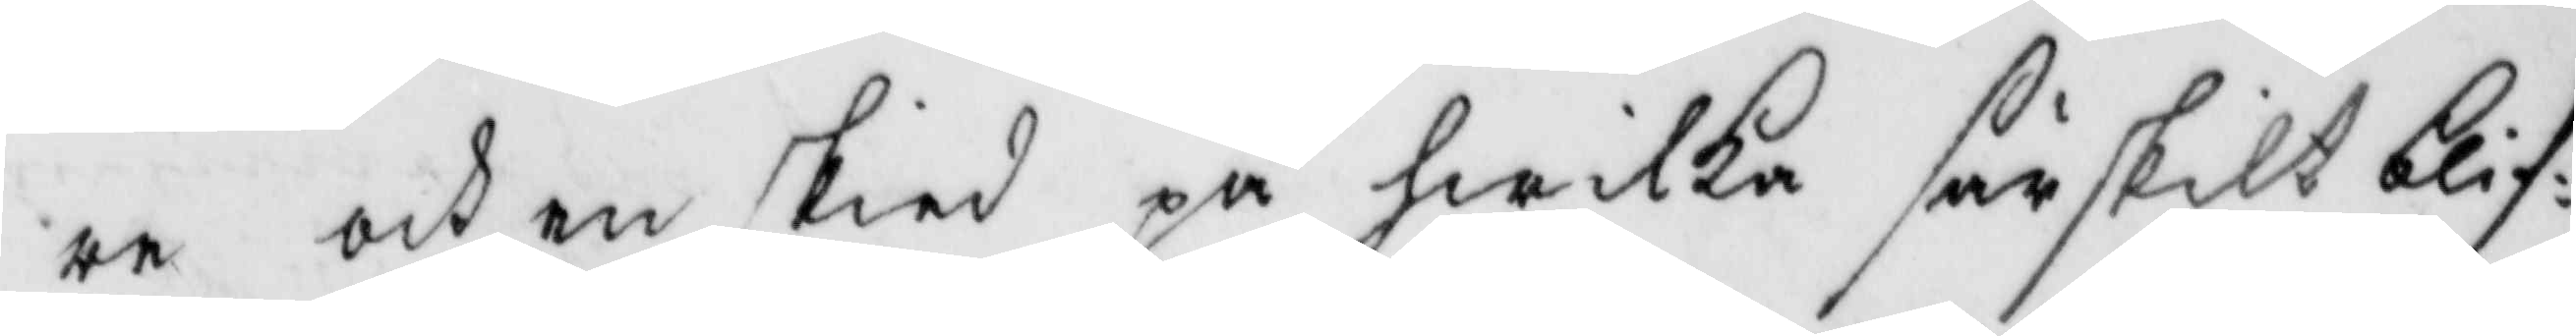re och en skied på hwilkea särskilt blif¬
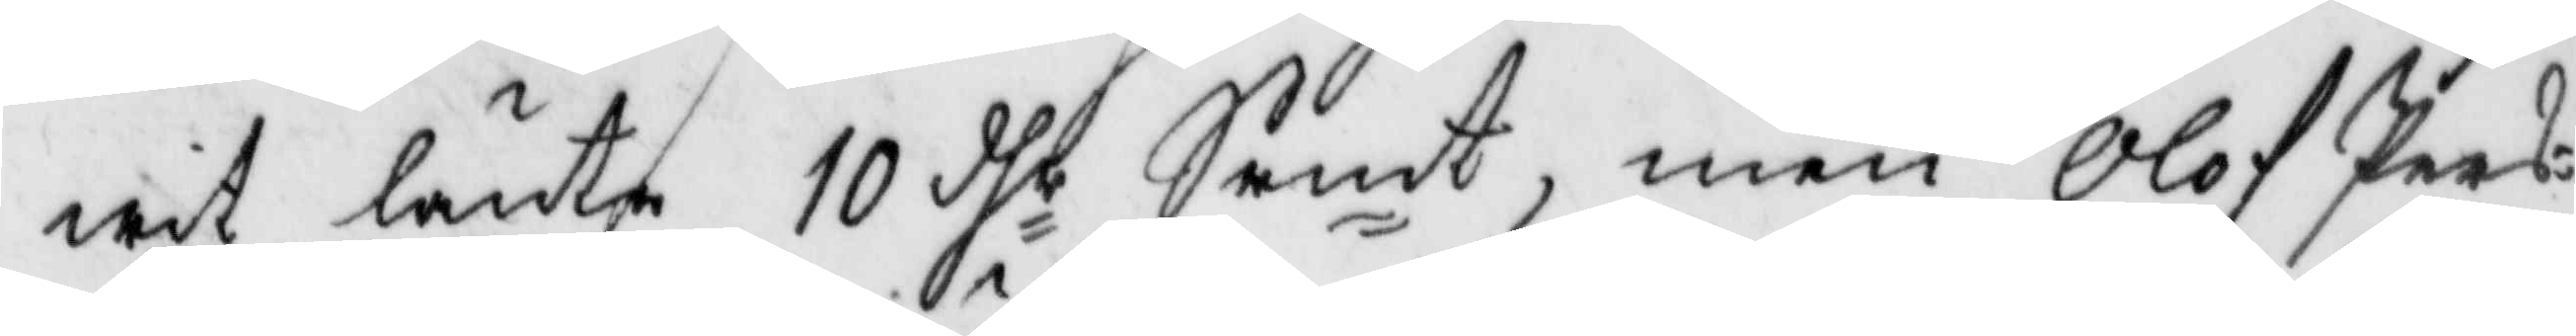wit lånte 19 dhr Srmt, men Olof Pers¬
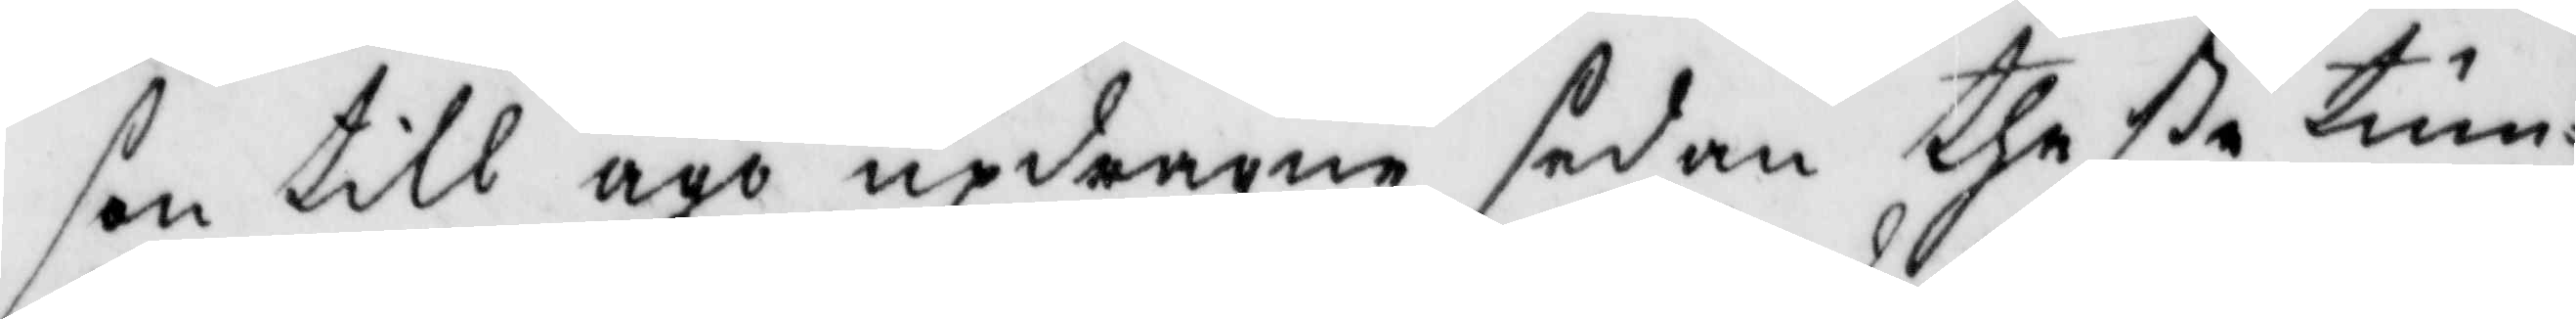son till ägo updragne sedan theße tum¬
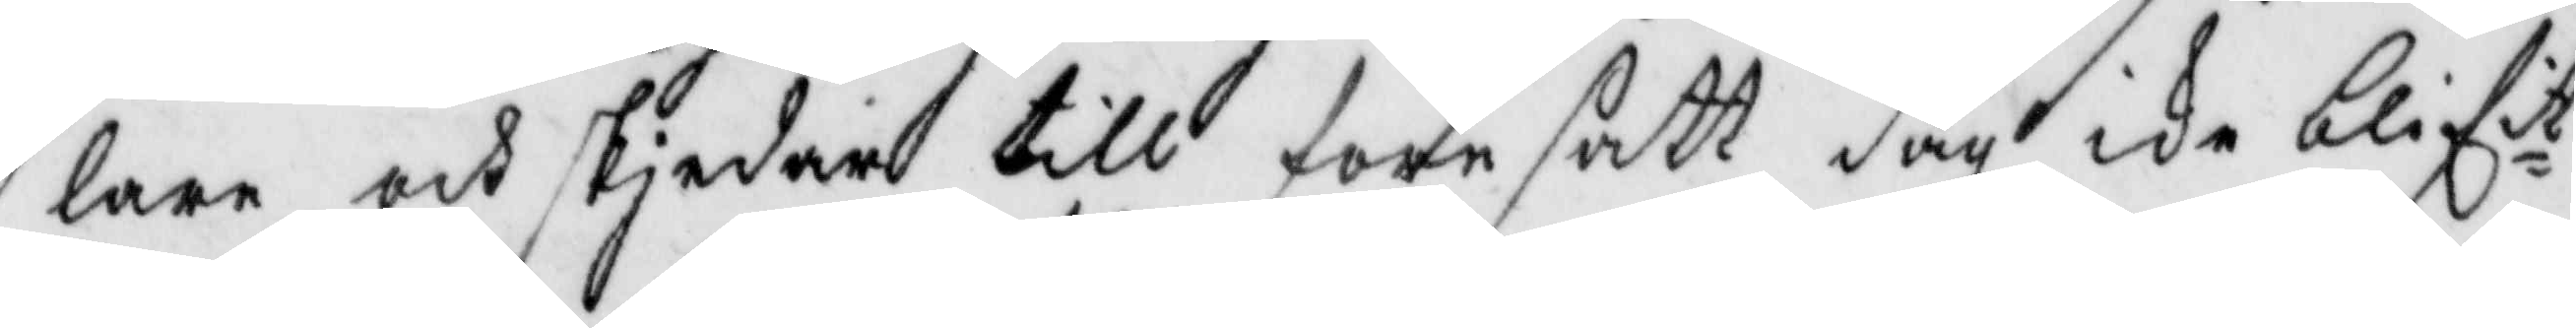lare och skiedar till föresatt dag icke blifit
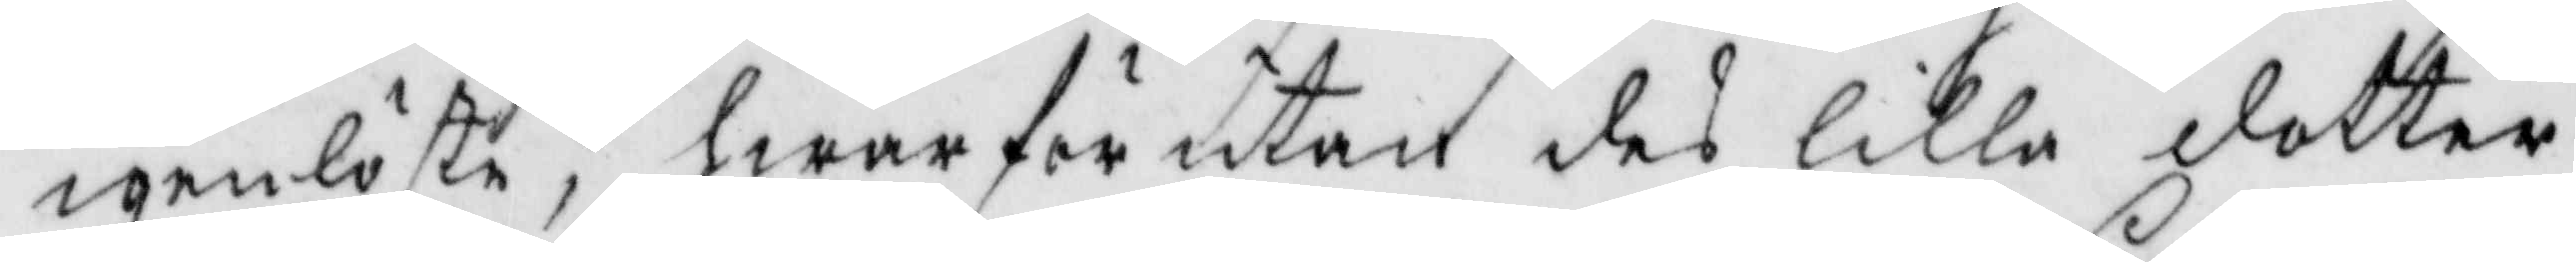igenlöste, hwarför utan des lilla dotter
